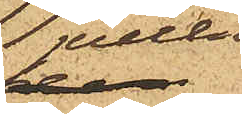jullen
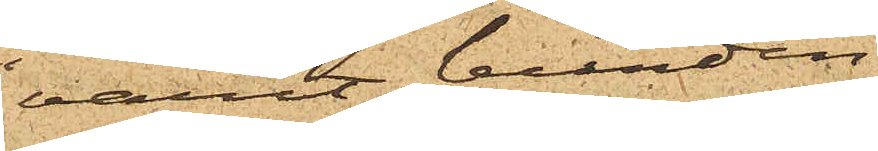varit bunden
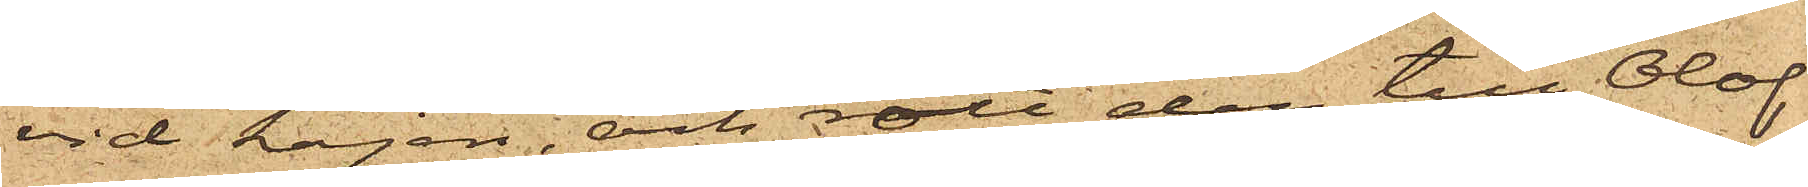vid kajen, och rott den till Olof
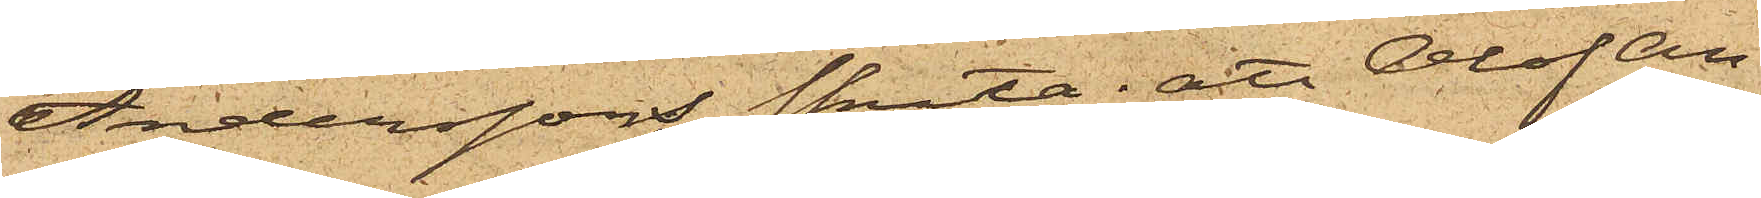Anderssons skuta; att Olof An¬
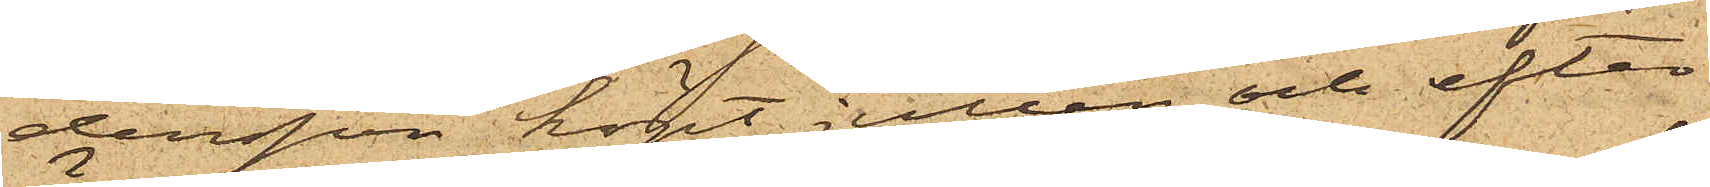dersson köpt jullen och efter
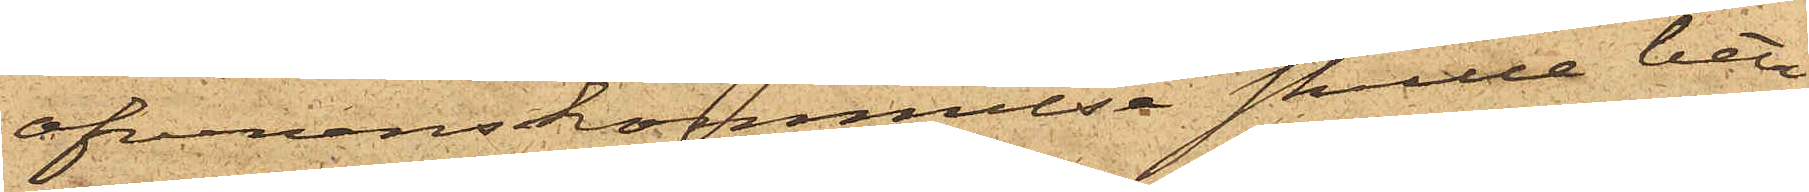öfverenskommelse skulle beta¬
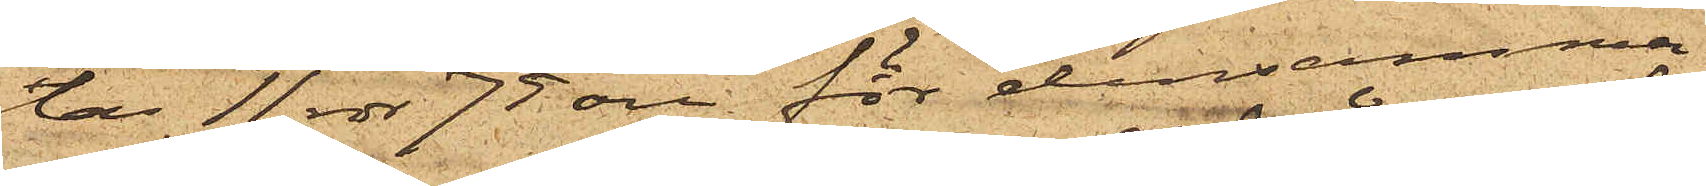lar 11 rdr 75 öre för densamma
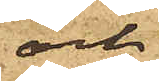och
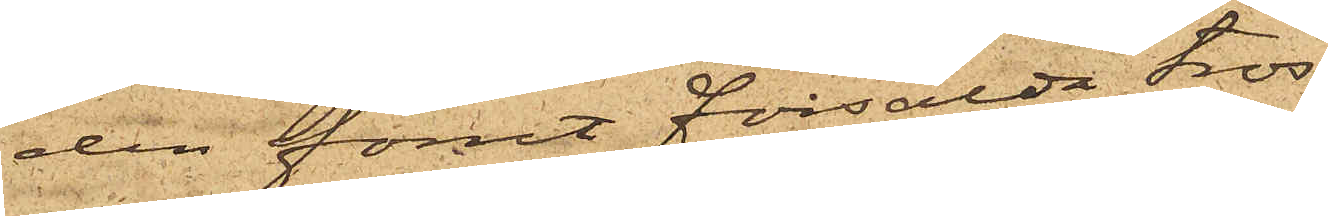den förut försålda tros¬
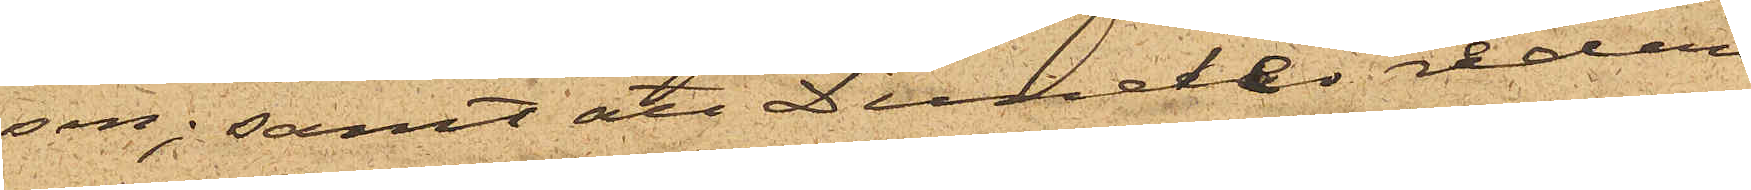sen; samt att Dunder redan
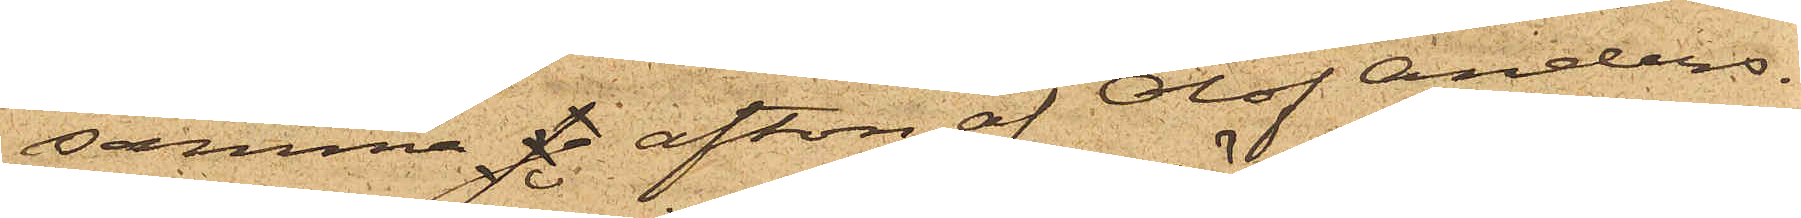samma se afton af Olof Anders¬
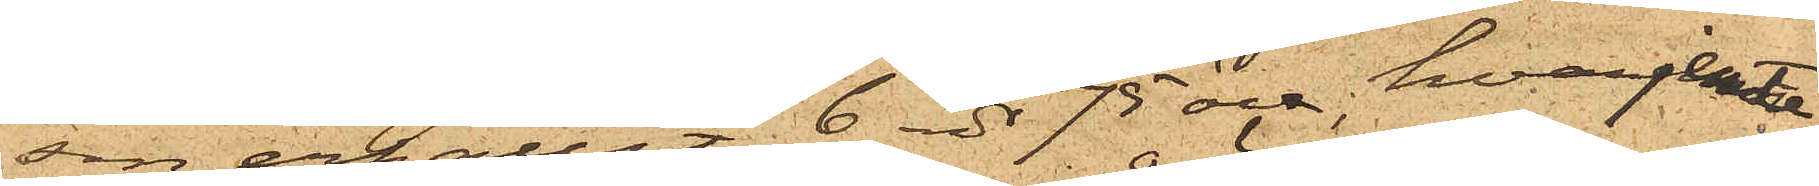sin erhållit 6 rdr 75 öre, hvarjemte
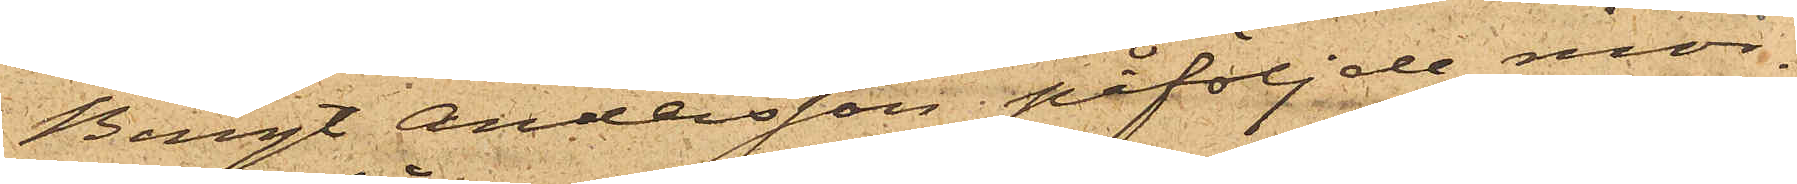Bengt Andersson påföljde mor¬
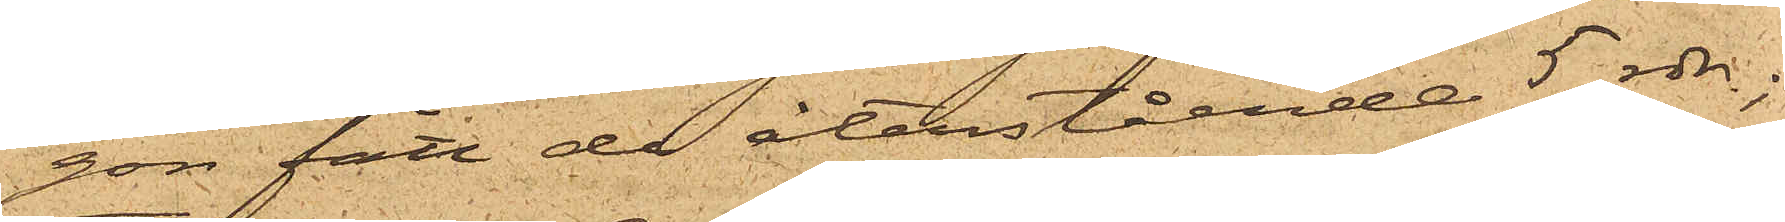gon fått de återstående 5 rdr;
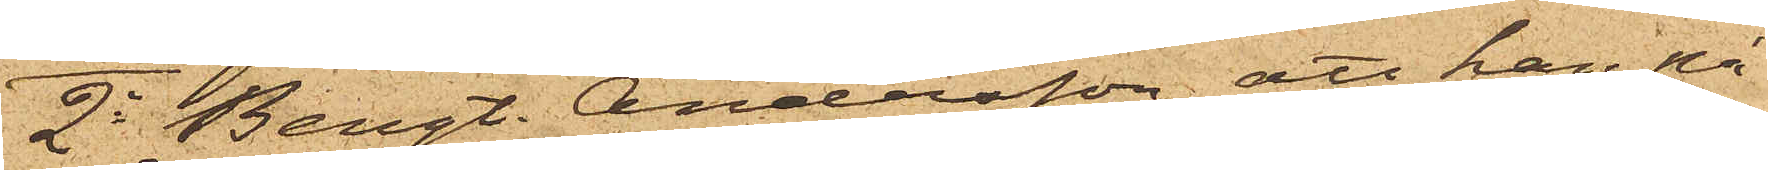2o Bengt. Andersson, att han på
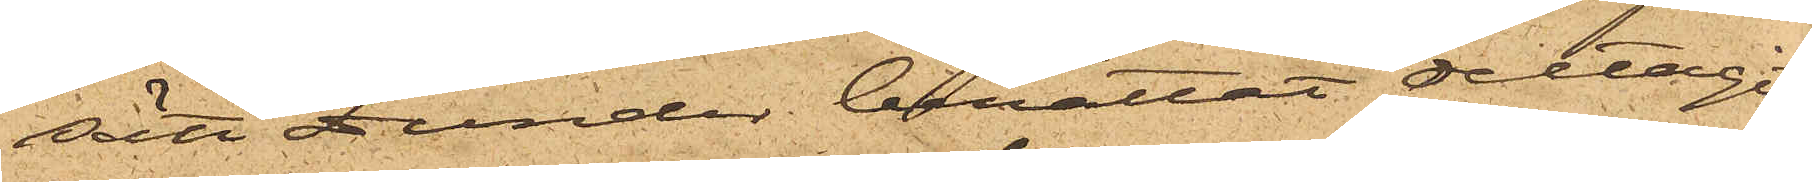sätt Dunder berättat deltagit
